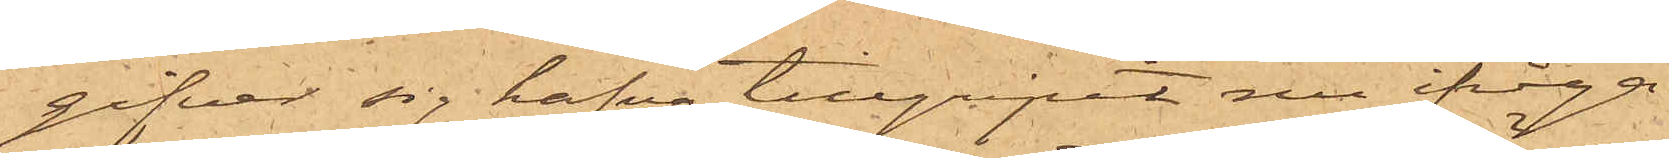gifver sig hafva tillgripit nu ifråga¬
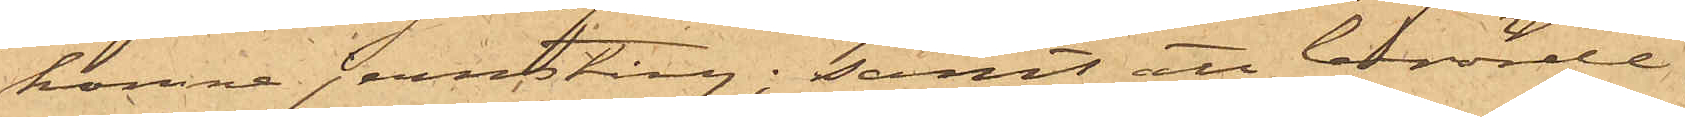komne jernstång; samt att berörde
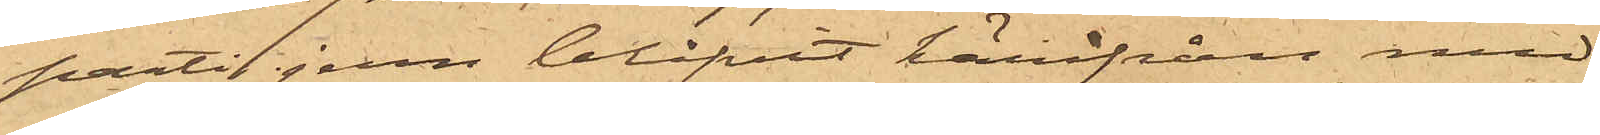parti jern blifvit härifrån med
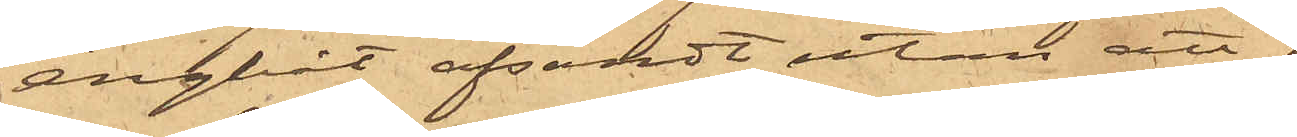ångbåt afsändt utan att firman
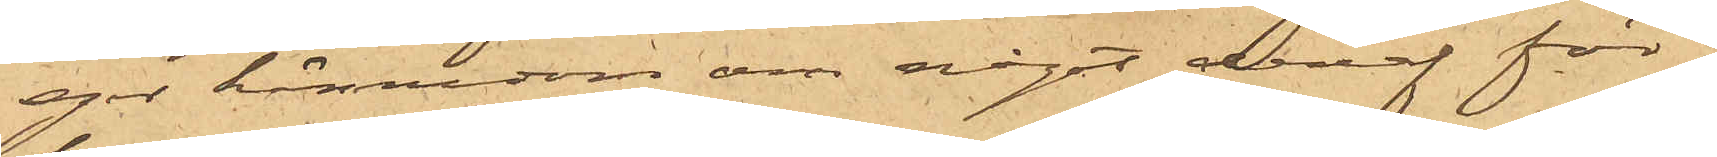eger kännedom om något deraf för¬
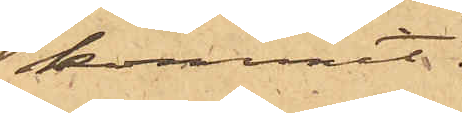kommit.
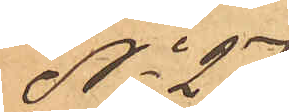No 27
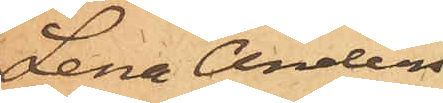Lena Anders¬
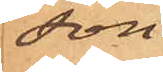son
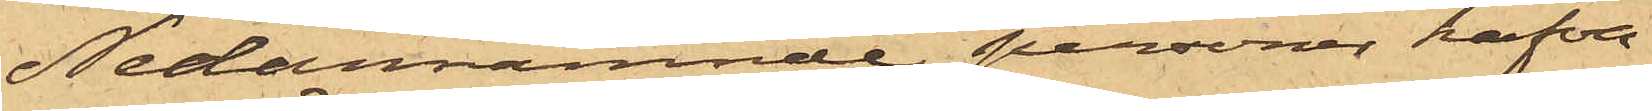Nedannämnde personer hafva
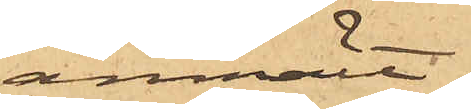anmält:
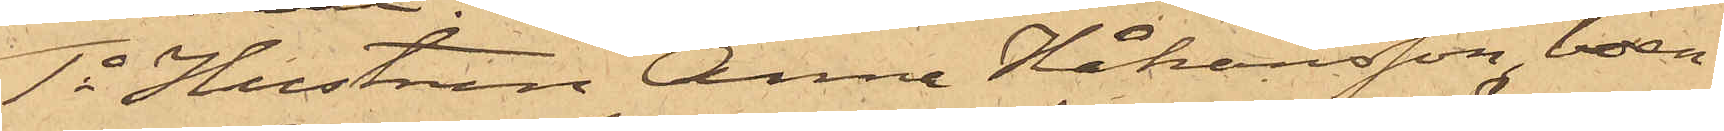1o Hustrun Anna Håkansson boen¬
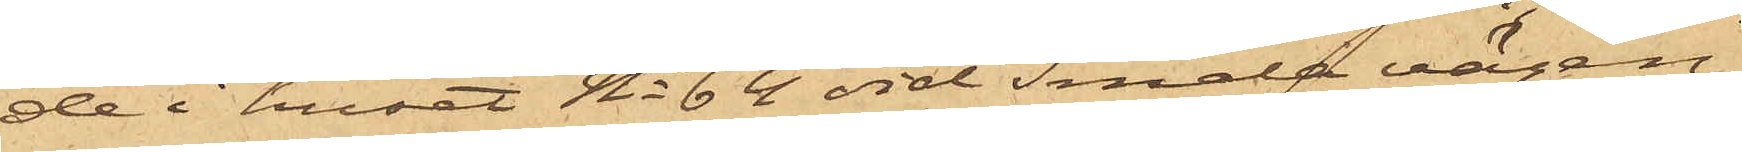de i huset No 64 vid Smala vägen,
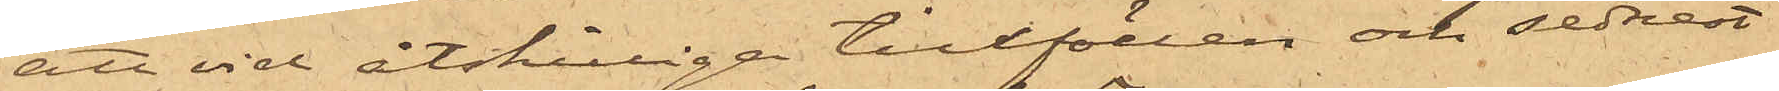att vid åtskilliga tillfällen och sednast
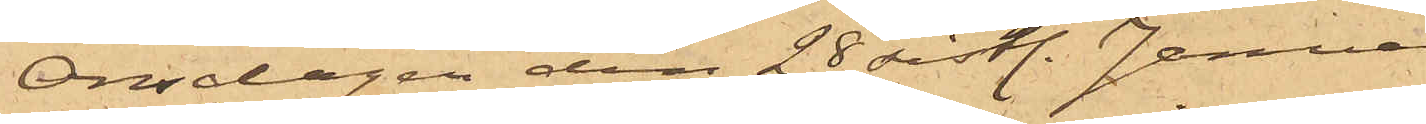Onsdagen den 28 sistl. Januari en
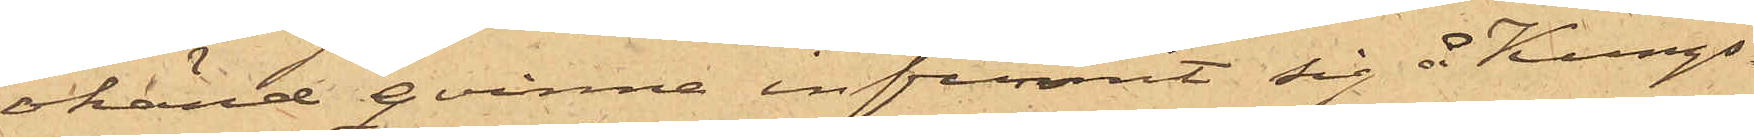okänd qvinna infunnit sig å Kungs¬
